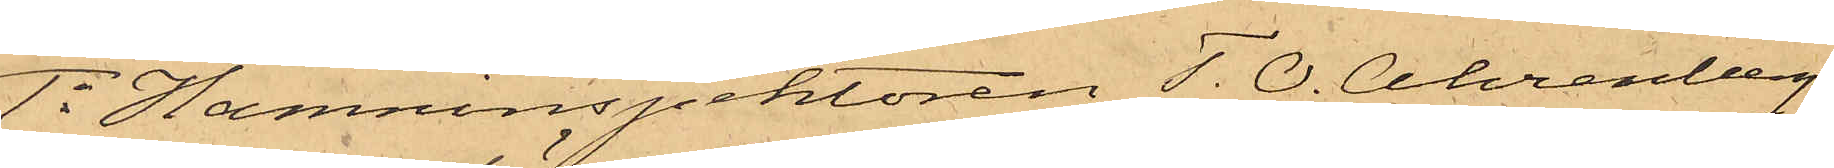1o Hamninspektoren T. O. Ahrenberg,
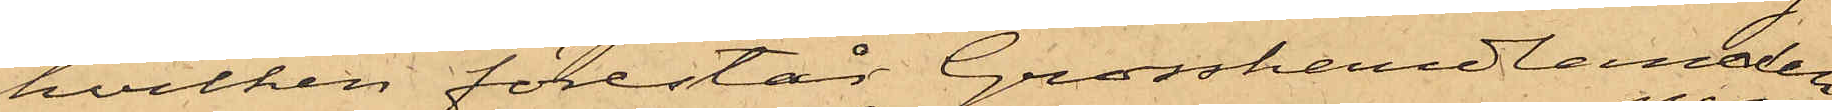hvilken förestår Grosshandlanden
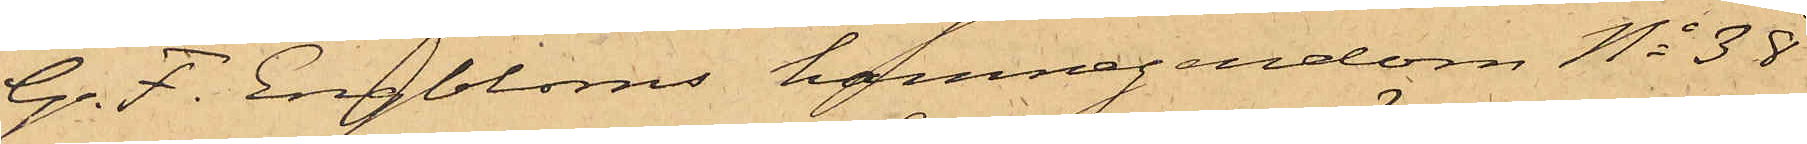G. F. Engbloms hamnegendom No 38
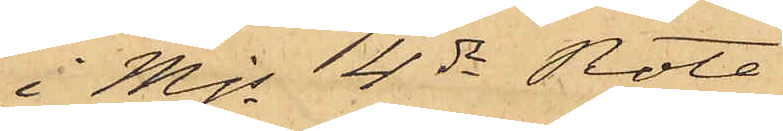i Mjs 4de Rote:
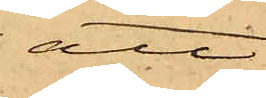att
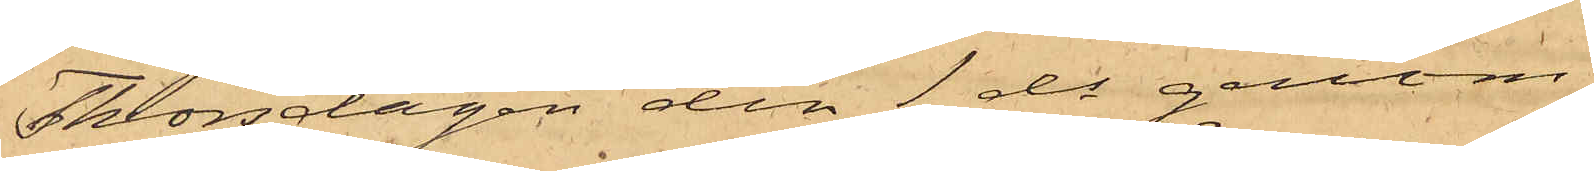Thorsdagen den 1 ds genom
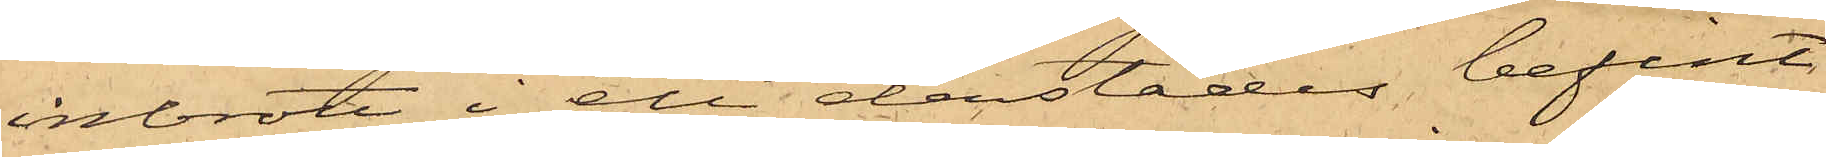inbrott i ett derstädes befint¬
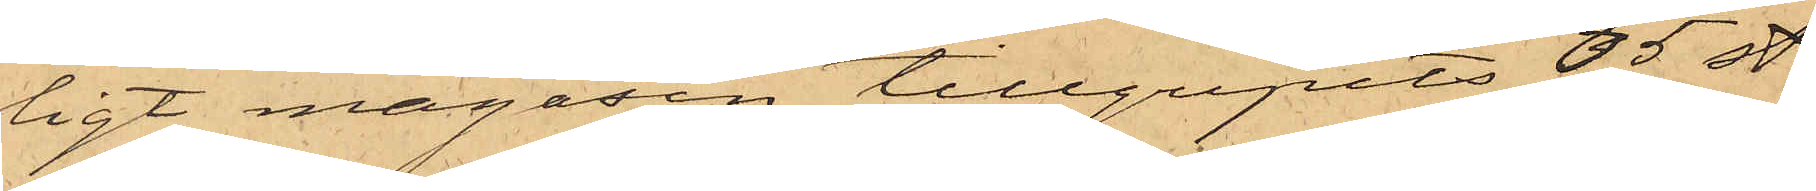ligt magasin tillgripits 65 st.
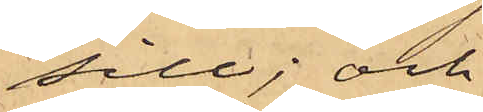sill; och
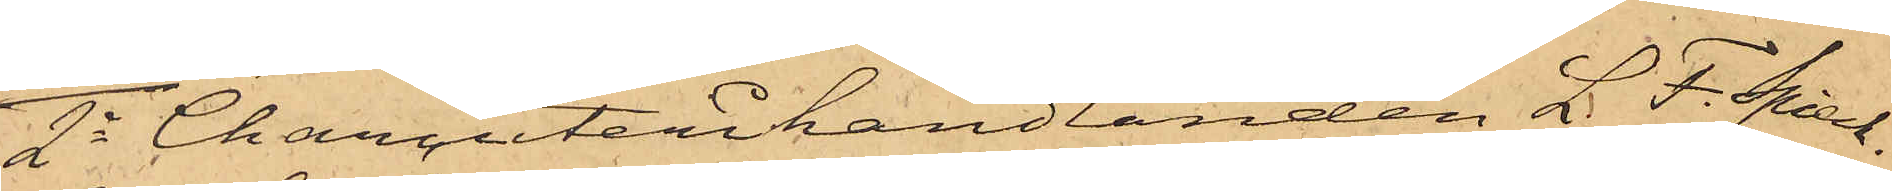2o Charcuterihandlanden L. F. Spieck¬
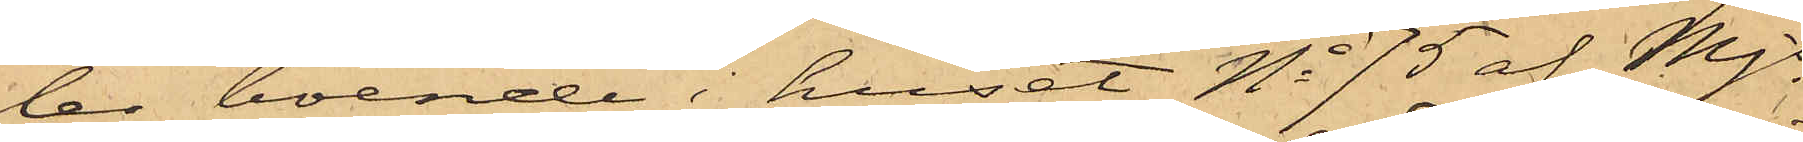ler, boende i huset No 75 af Mjs
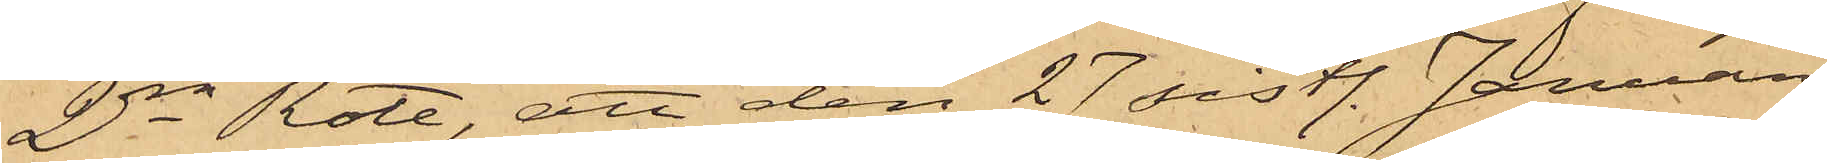2dra Rote, att den 27 sistl. Januari
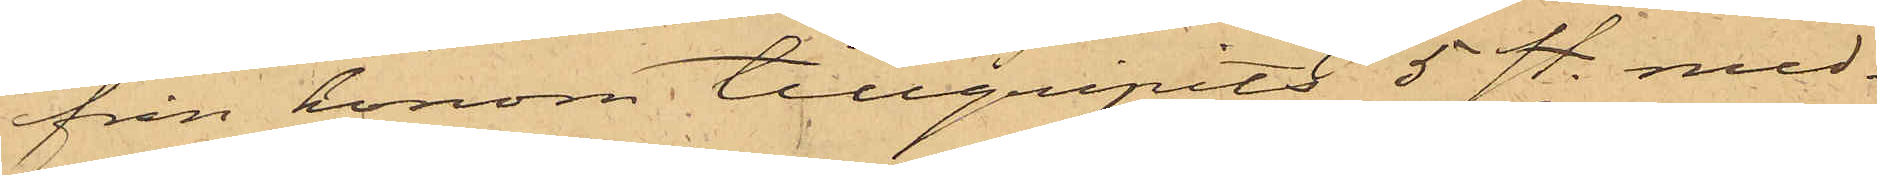från honom tillgripits 5 st. med¬
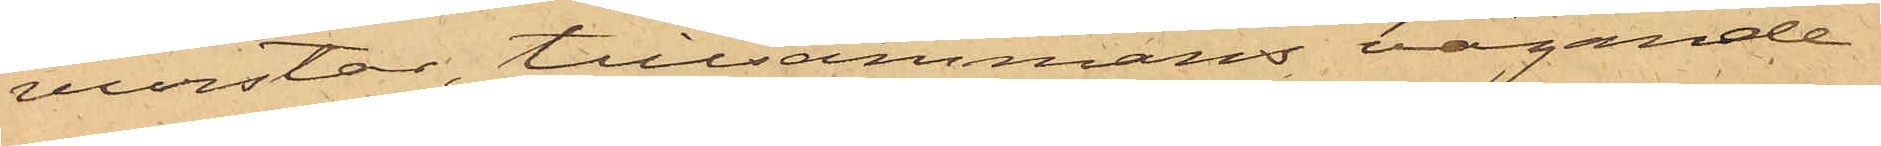vurstar, tillsammans vägande
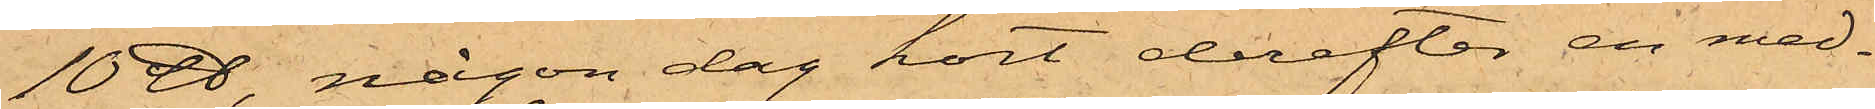10 ℔, någon dag kort derefter en med¬
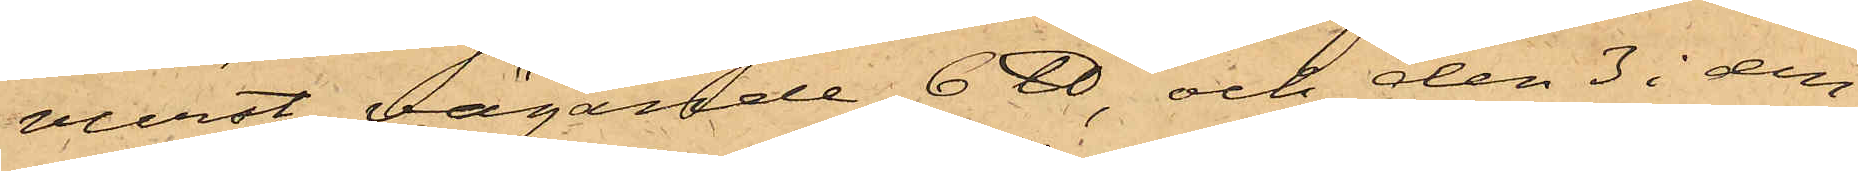vurst, vägande 6 ℔, och den 3 i den¬
